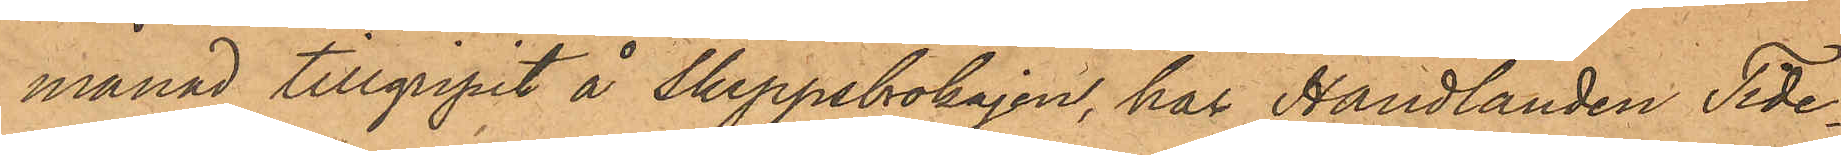månad tillgripit å Skeppsbrokajen, har Handlanden Tide¬
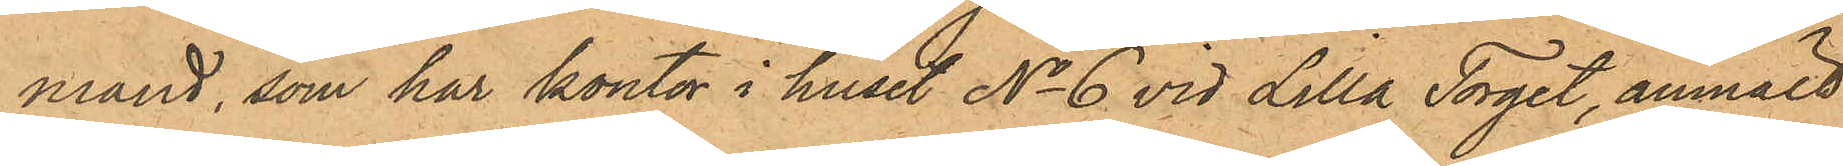mand, som har kontor i huset No 6 vid Lilla Torget, anmält
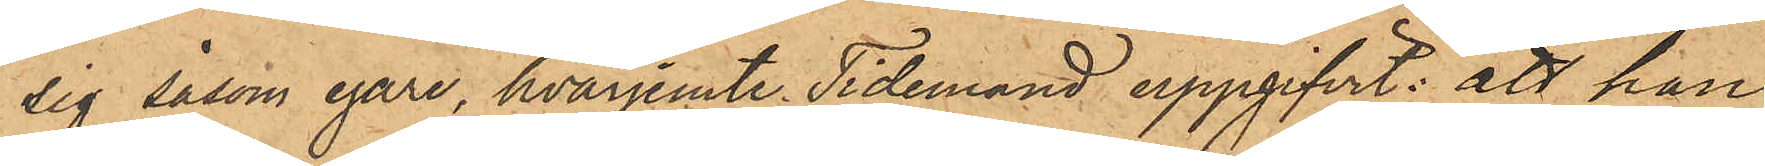sig såsom egare, hvarjemte Tidemand uppgifvit: att han
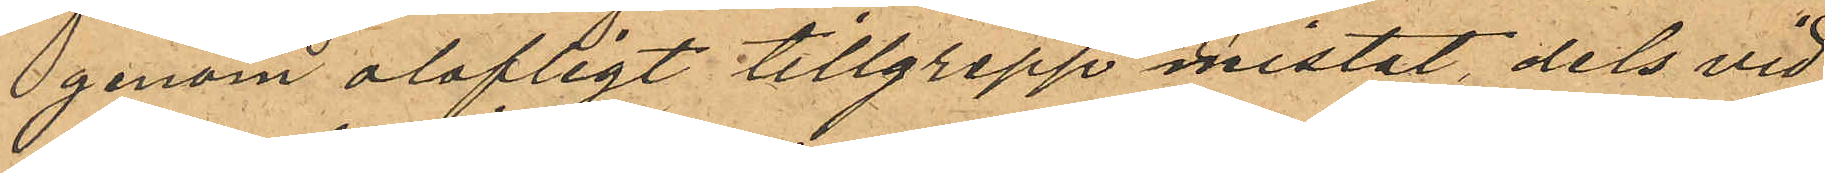genom olofligt tillgrepp mistat dels vid
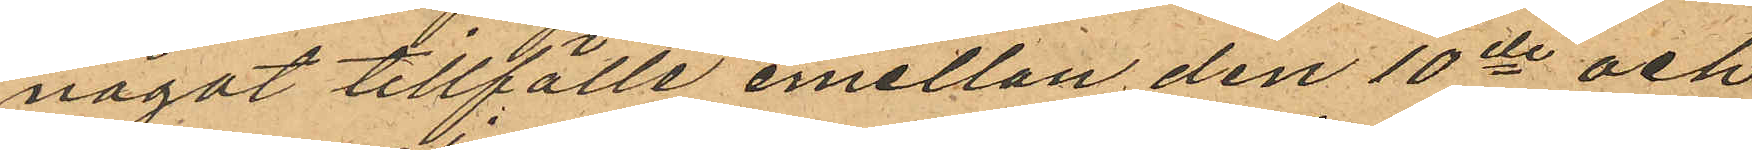något tillfälle emellan den 10de och
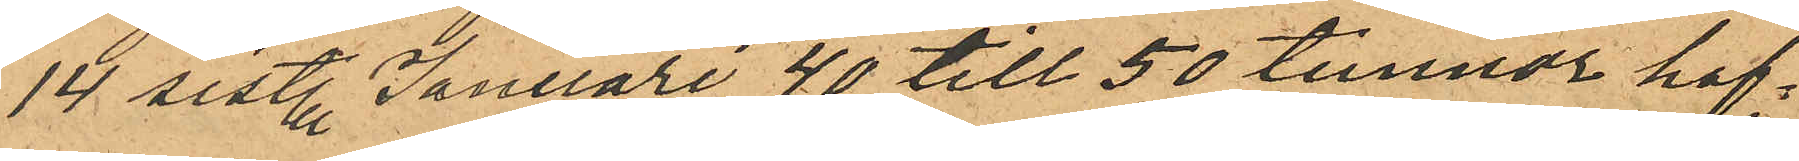14 sist. Januari 40 till 50 tunnor haf¬
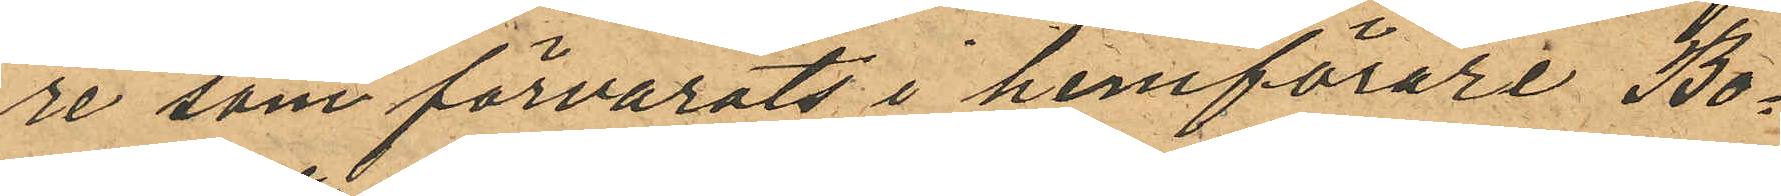re som förvarats i hemförare Bo¬
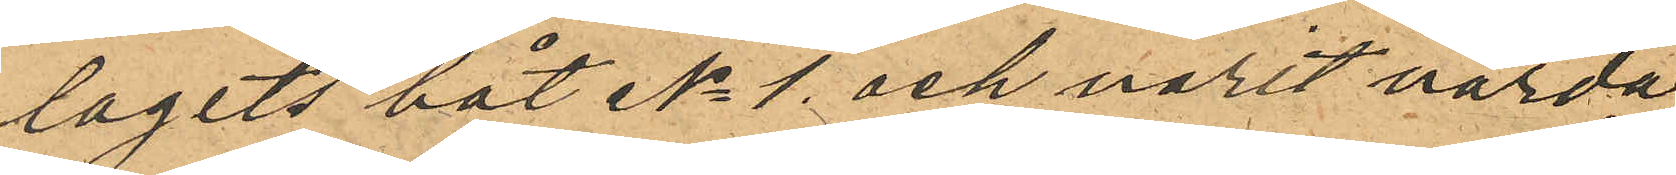lagets båt No 1 och varit värda
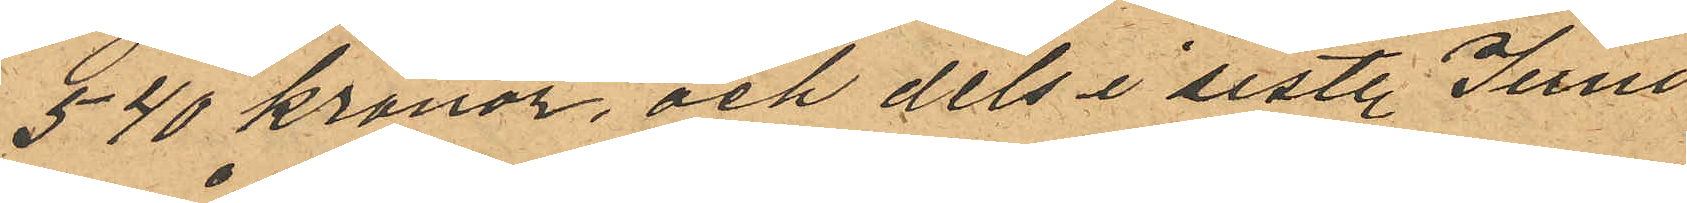540 kronor, och dels i sistl. Juni
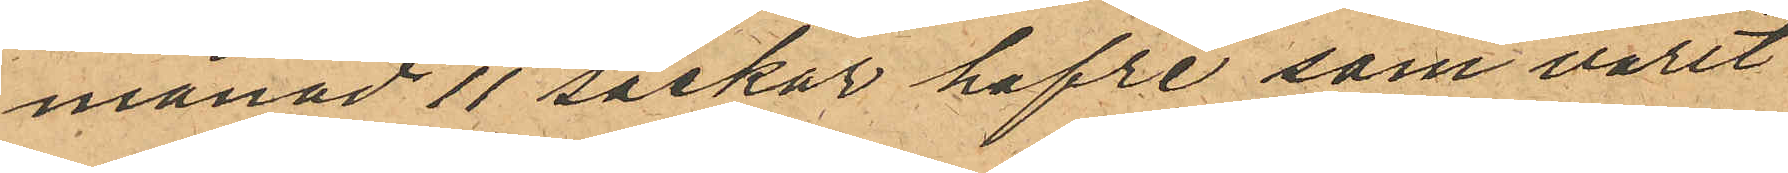månad 11 säckar hafre som varit
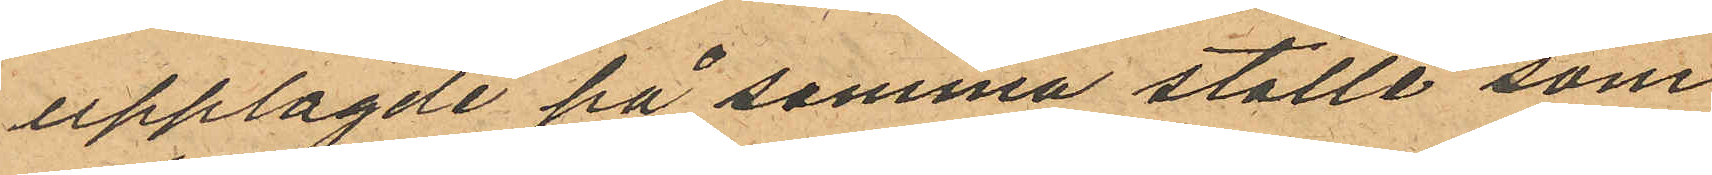upplagde på samma ställe som
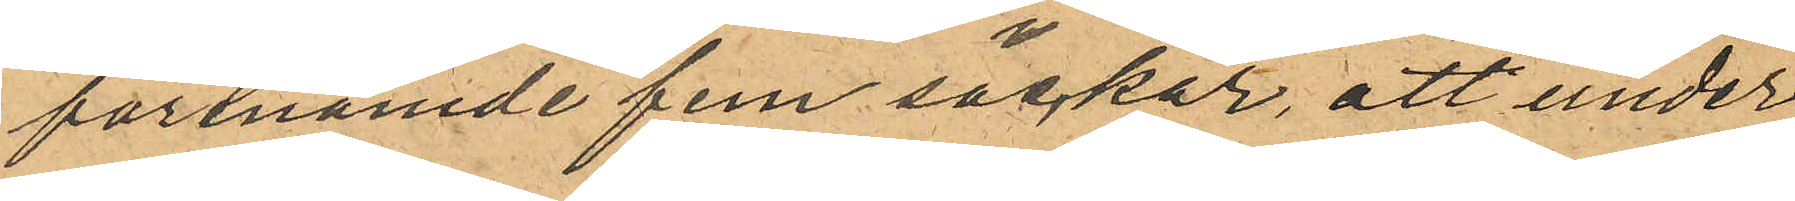förenämde fem säckar, att under
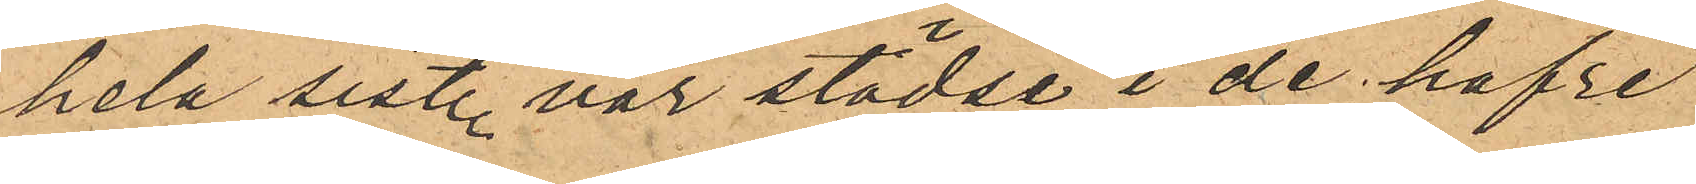hela sist. vår städse i de hafre¬
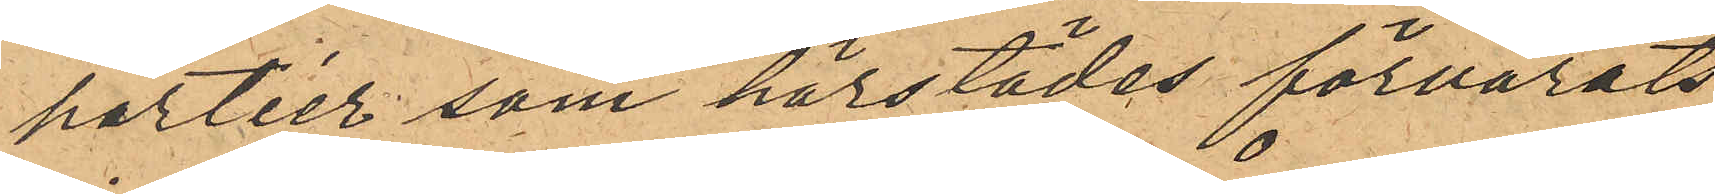partier som härstädes förvarats
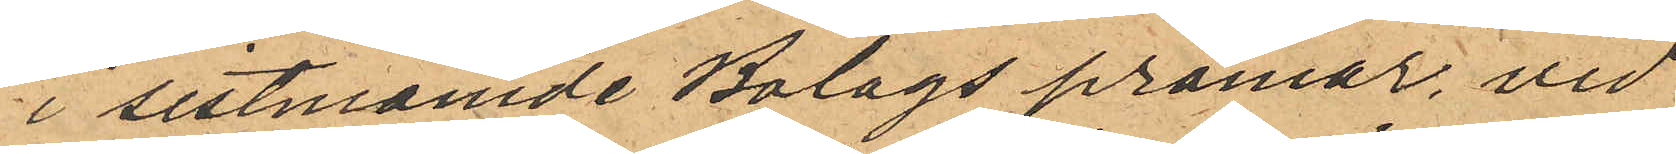i sistnämde Bolags pråmar, vid
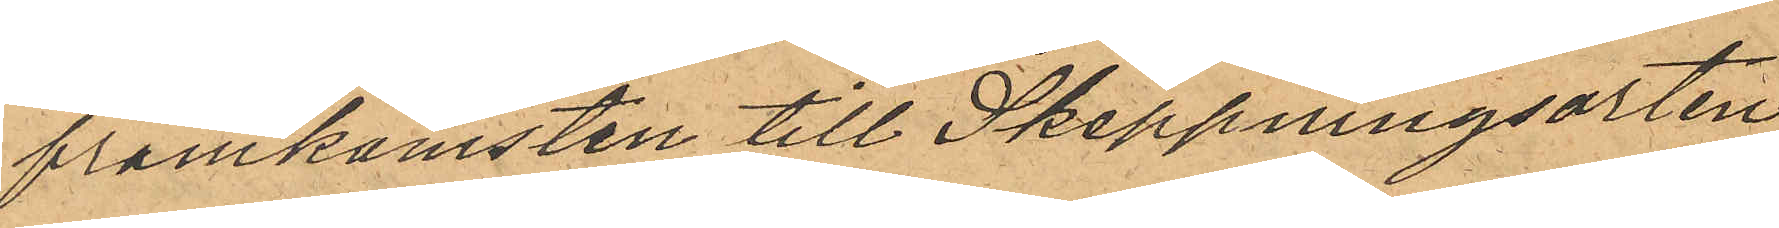framkomsten till Skeppningsorten
